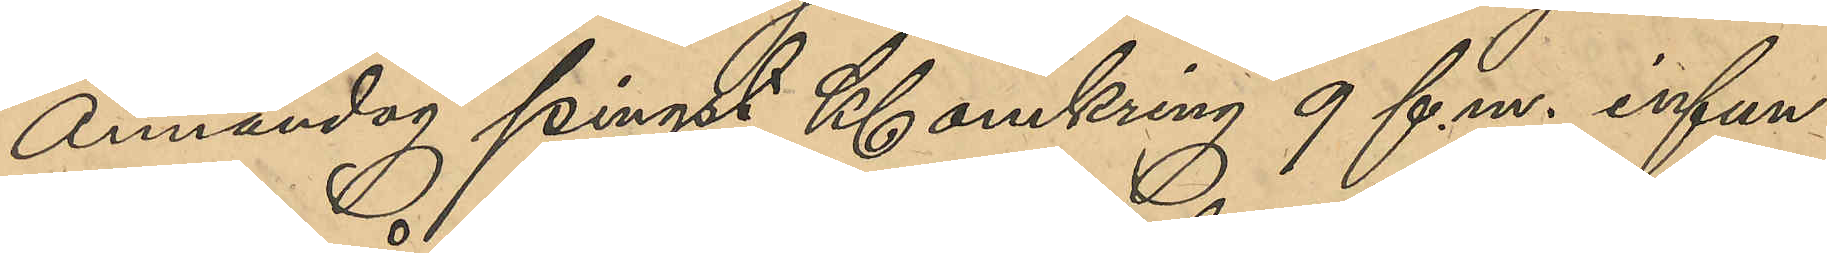Annandag pingst Kl omkring 9 f.m. infun¬
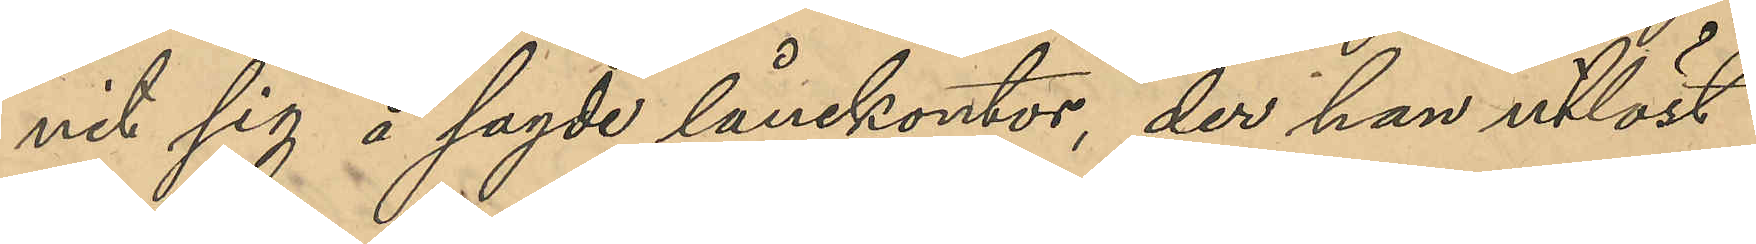nit sig å sagde lånekontor, der han utlöst
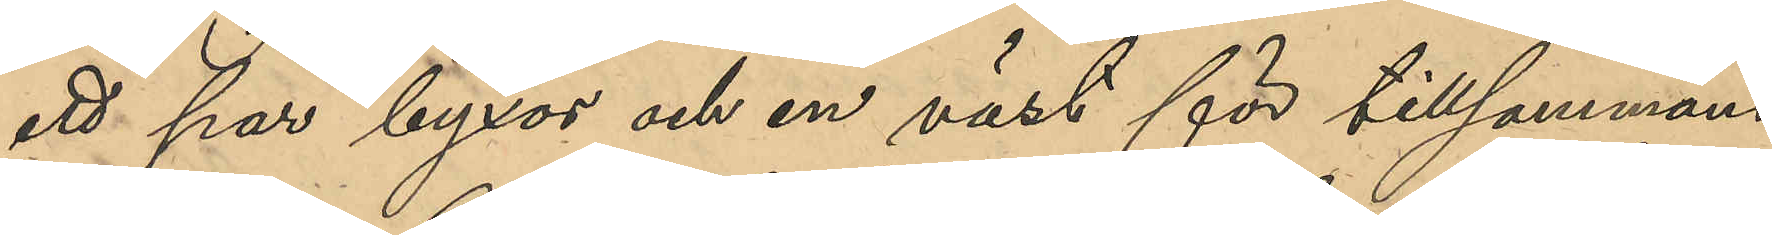ett par byxor och en väst för tillsammans
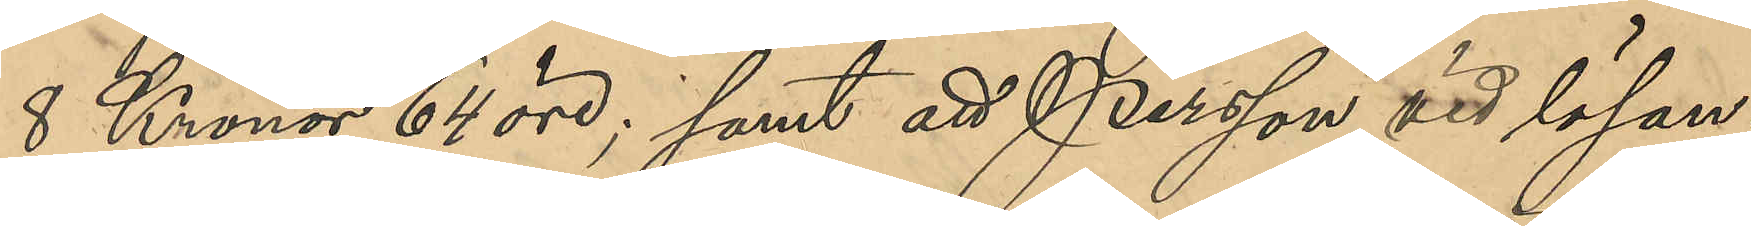8 Kronor 64 öre; samt att Persson vid lösan¬
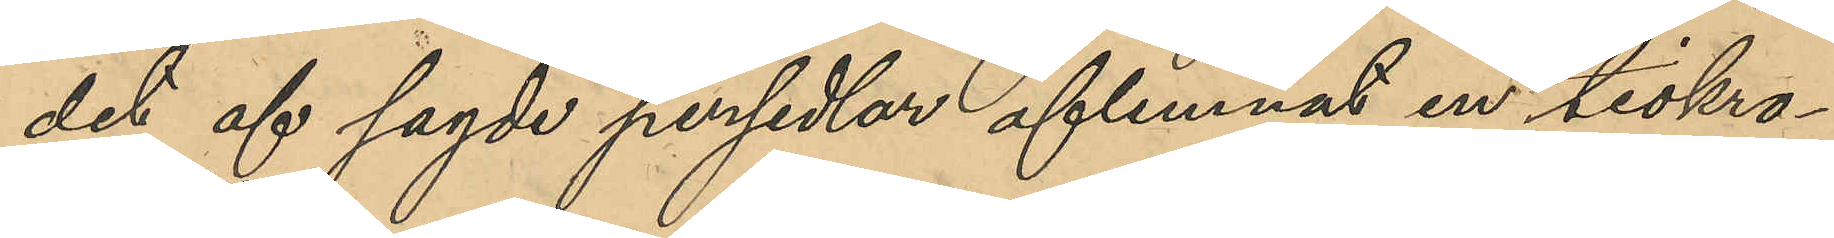det af sagde persedlar aflemnat en tiokro¬
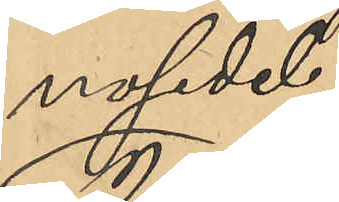nosedel;
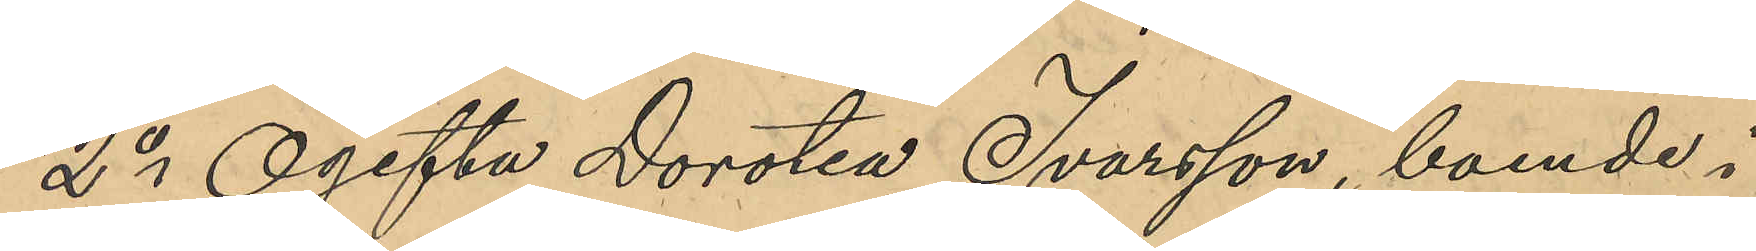2o Ogifta Dorotea Ivarsson, boende i
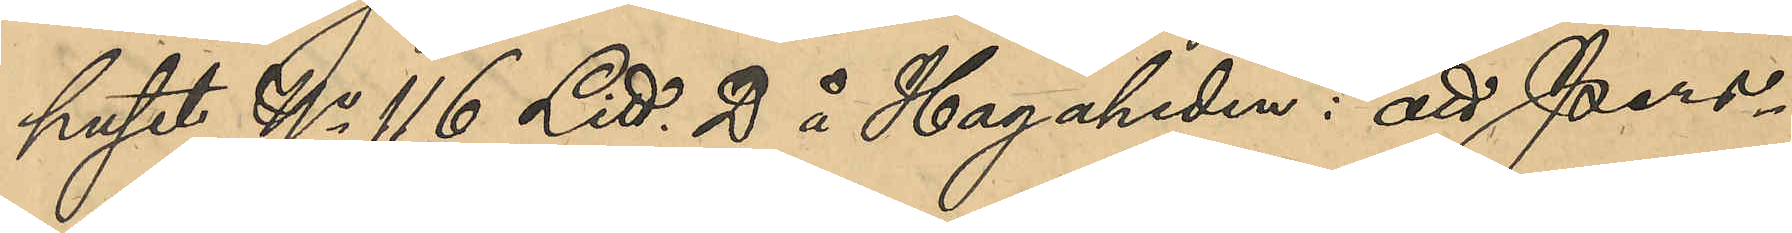huset No 116 Litt. D å Hagaheden: att Pers¬
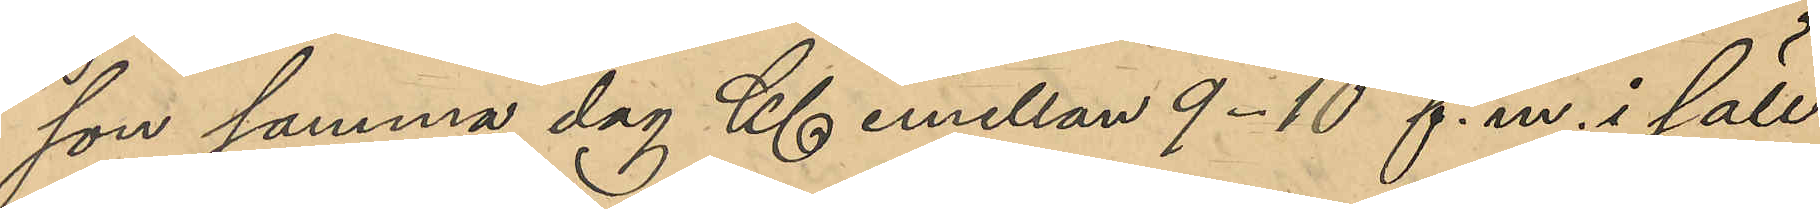son samma dag Kl emellan 9-10 f. m. i säll¬
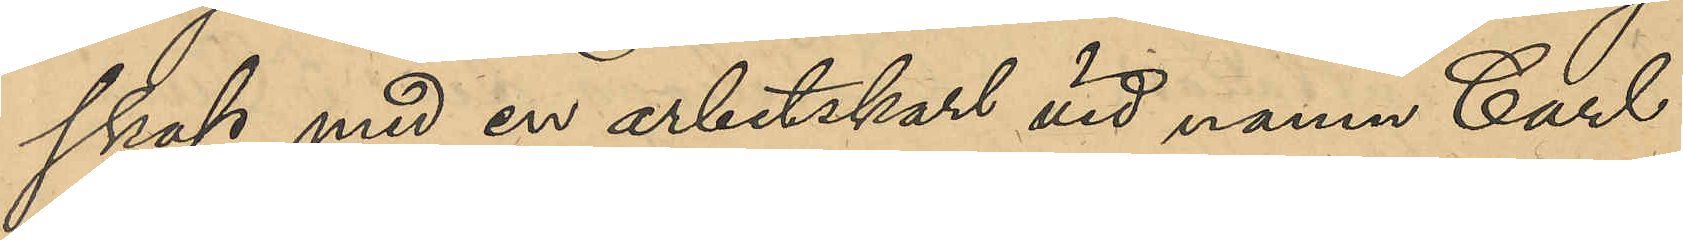skap med en arbetskarl vid namn Carl 
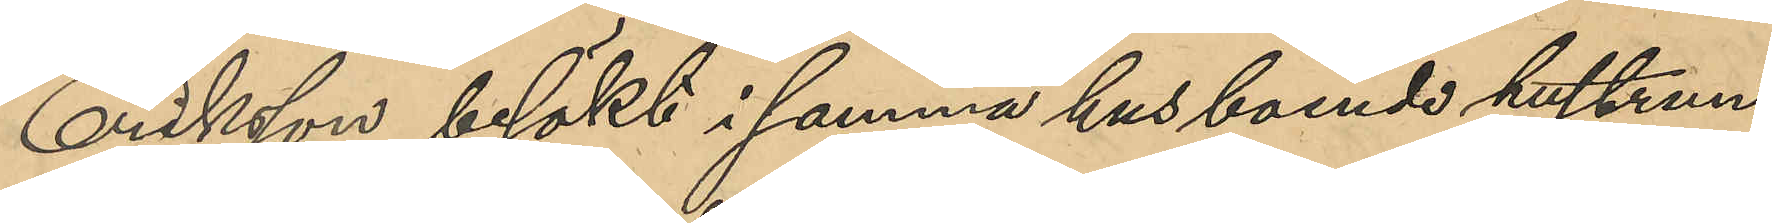Eriksson besökt i samma hus boende hustrun
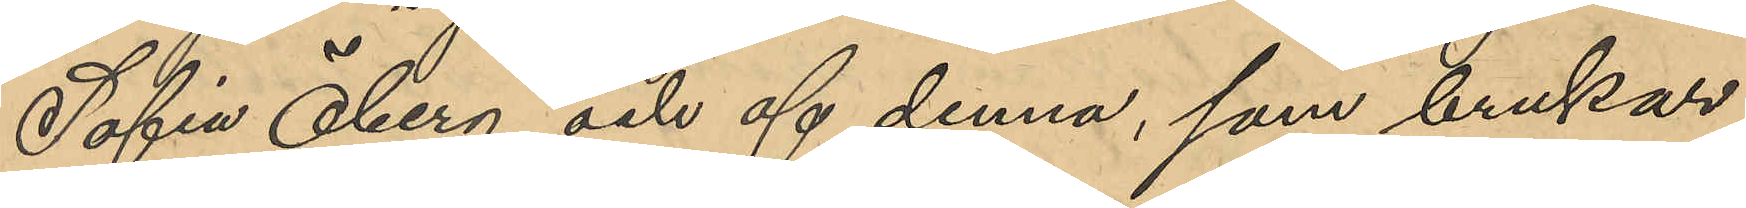Sofia Öberg och af denna, som brukar
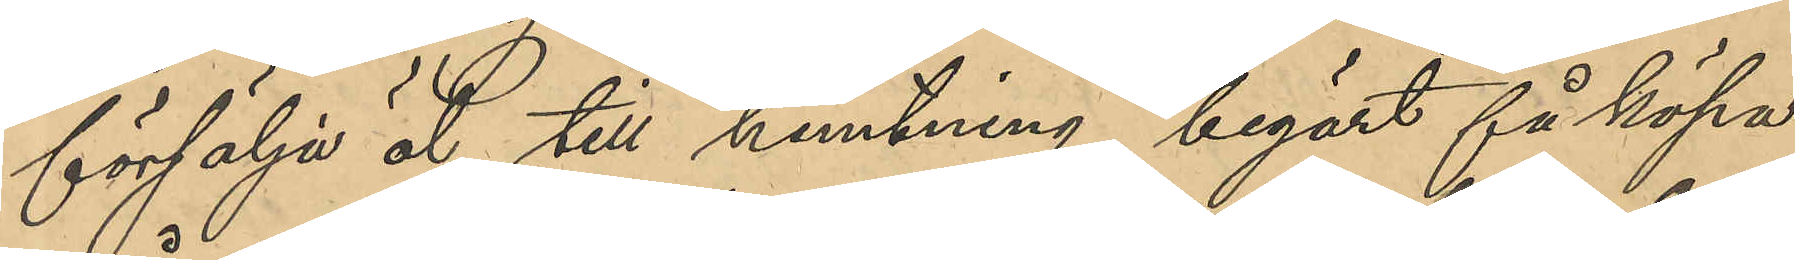försälja öl till hemtning, begärt få köpa
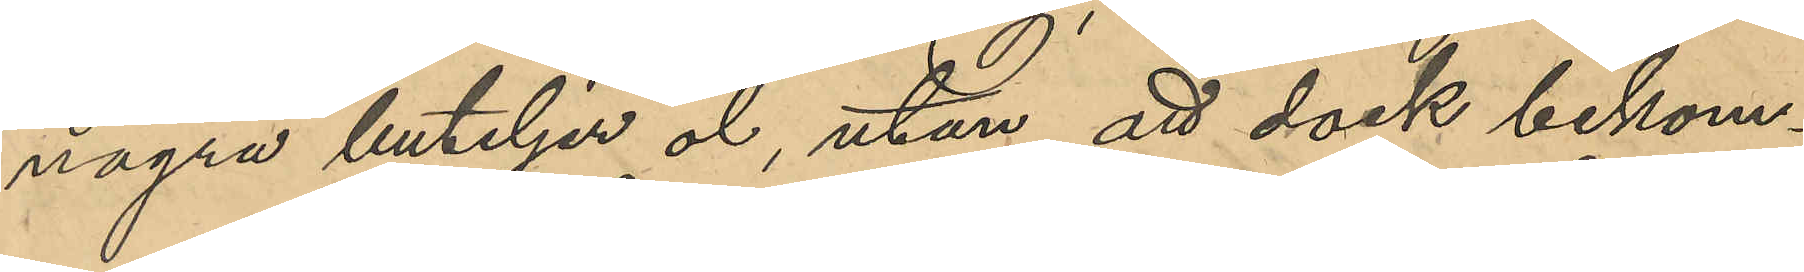några buteljer öl, utan att dock bekom¬
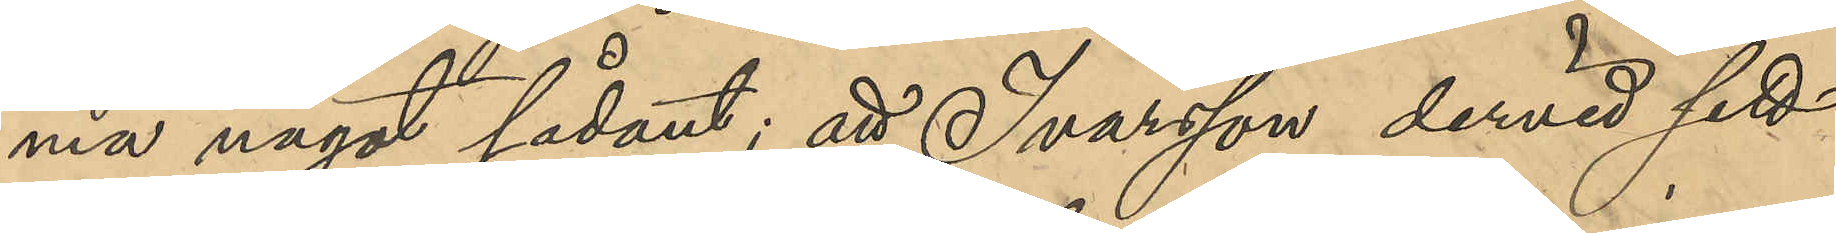ma något sådant; att Ivarsson dervid sett
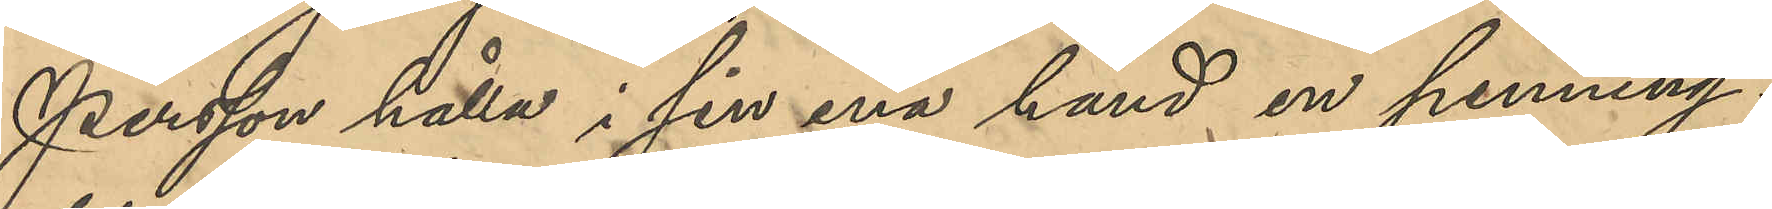Persson hålla i sin ena hand en penning¬
